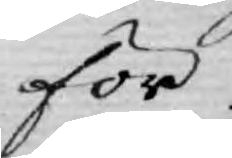för
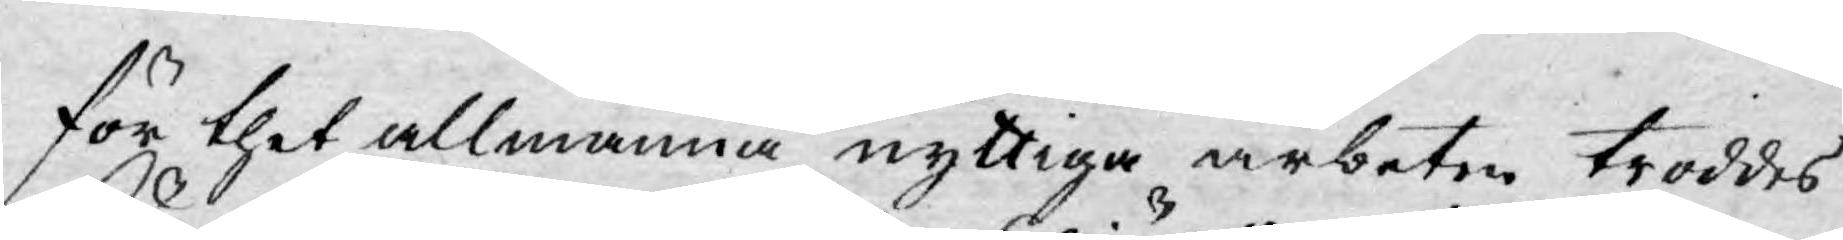för thet allmänna nyttiga arbeten troddes
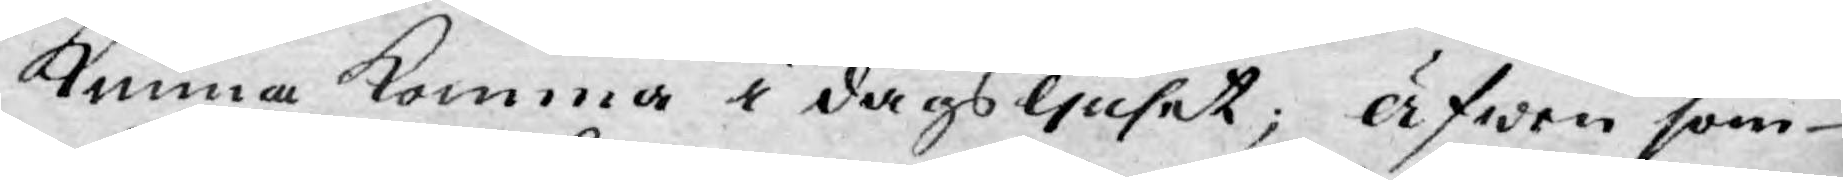kunna komma i dagsljuset; äfwen som
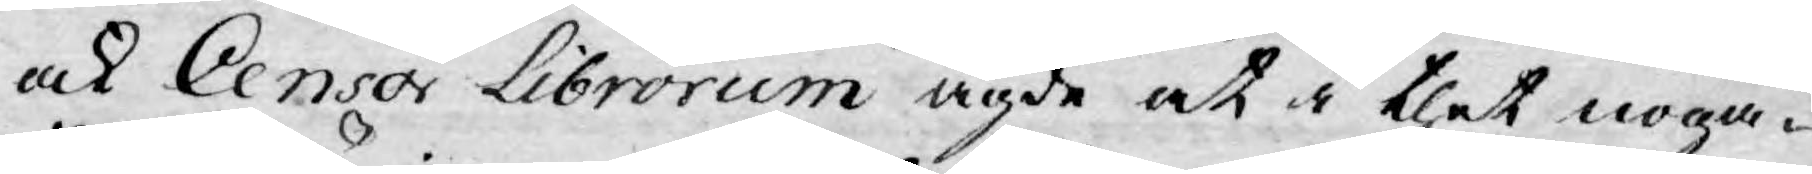ock Censor Librorum ägde at i thet noga¬
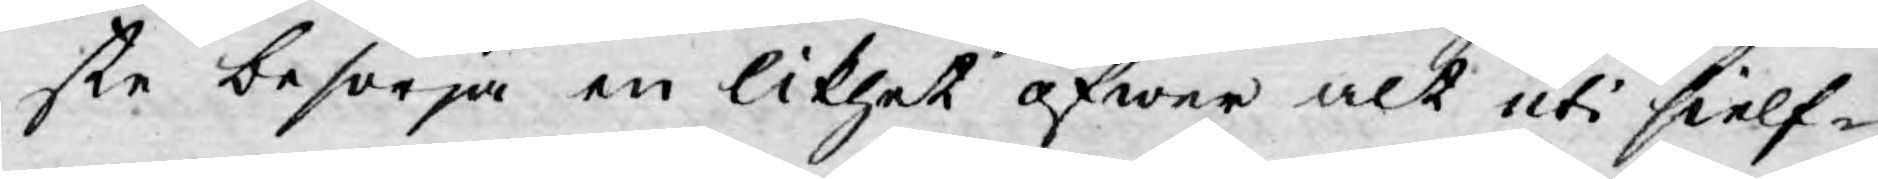ste besörja en likhet öfwer alt uti sielf¬
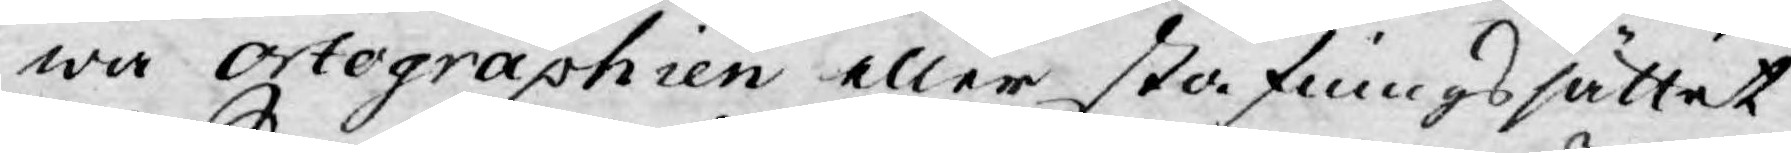wa Ortographien eller stafningssättet
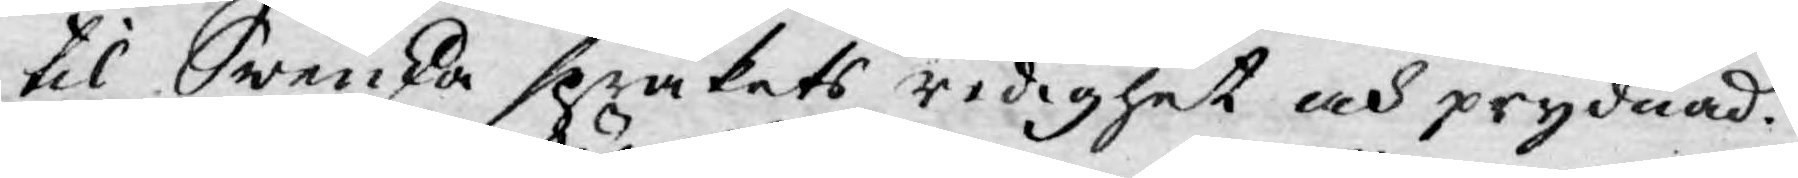til Swenska språkets redighet och prydnad.
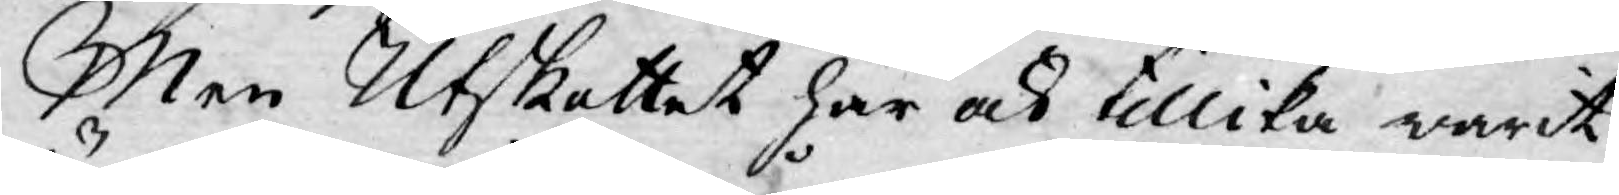Men Utskottet har och tillika warit
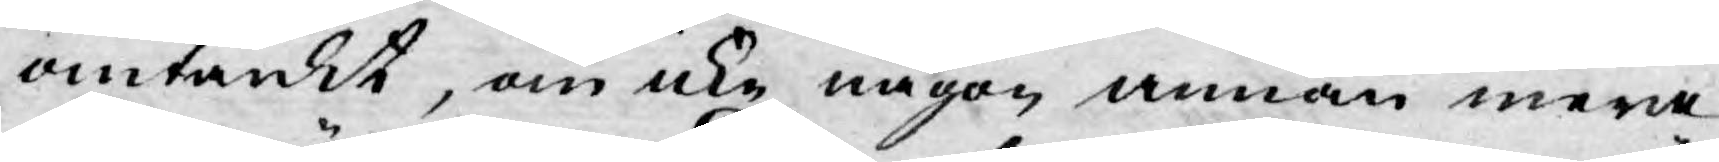omtänkt, om icke någon annan mera
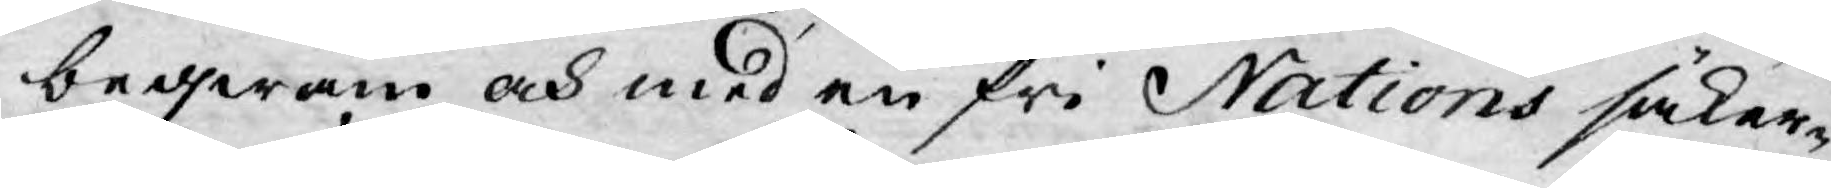beqwäm och med en fri Nations säker¬
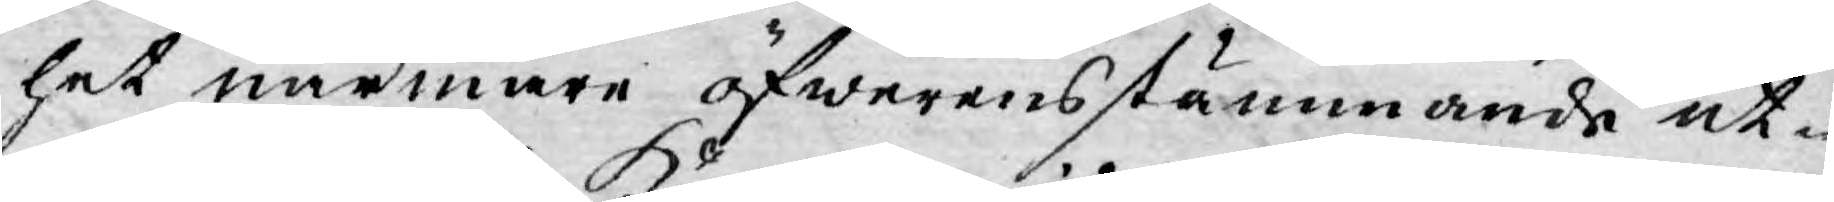het närmare öfwerensstämmande ut¬
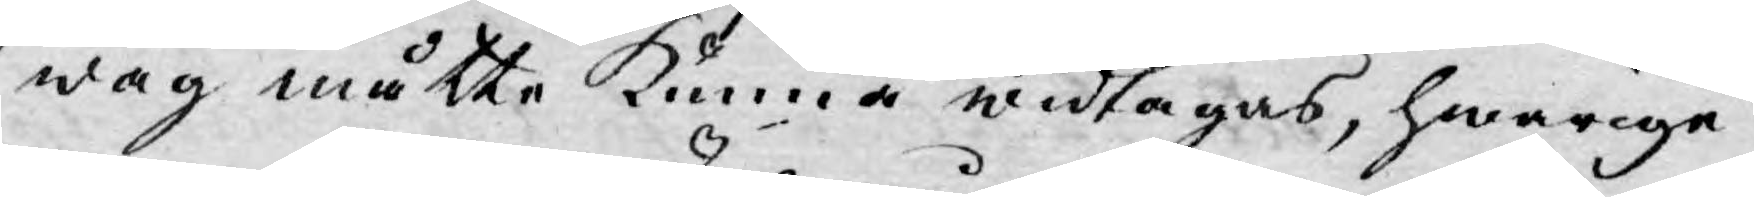wäg måtte kunna widtagas, hwarige¬
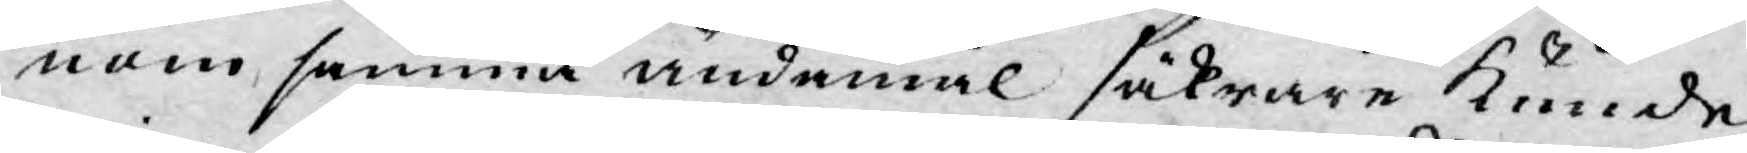nom samma ändamål säkrare kunde
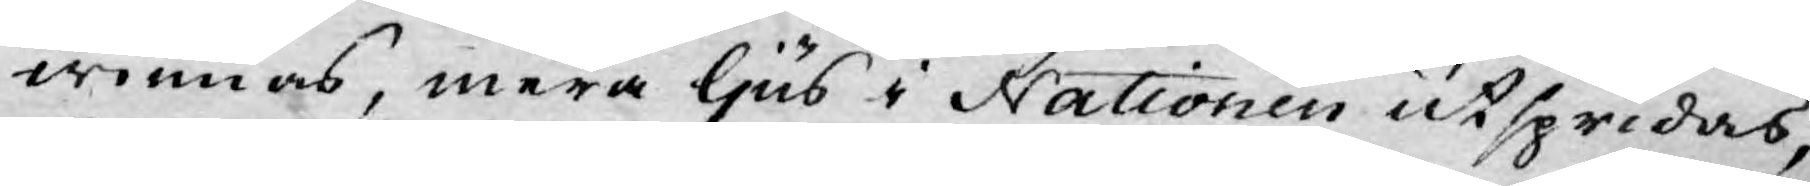winnas, mera ljus i Nationen utspridas,
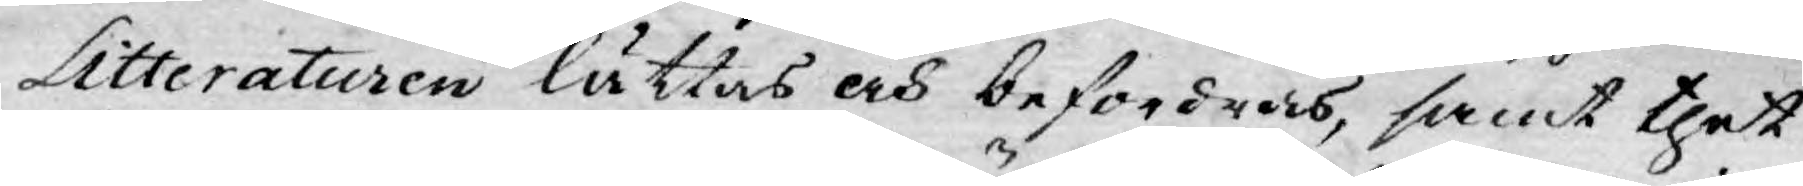Litteraturen lättas och befordras, samt thet
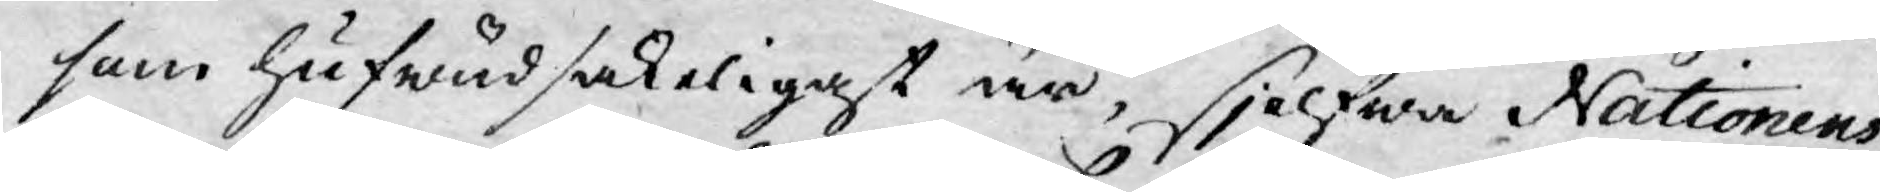som hufwudsakeligast är, sjelfwa Nationens
